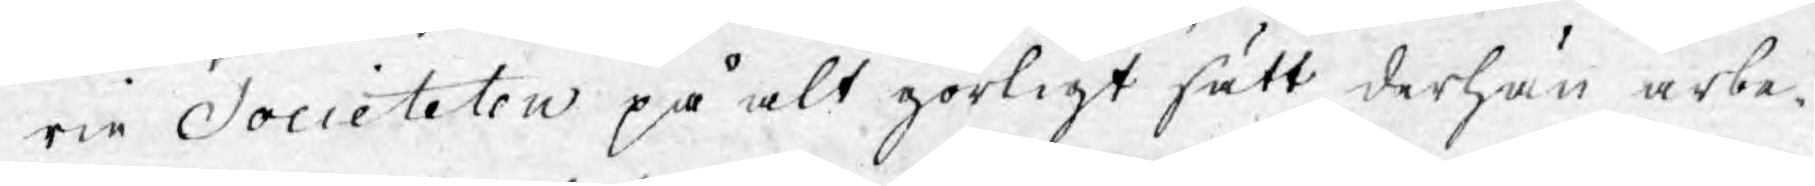rie Societeten på alt görligt sätt derhän arbe¬
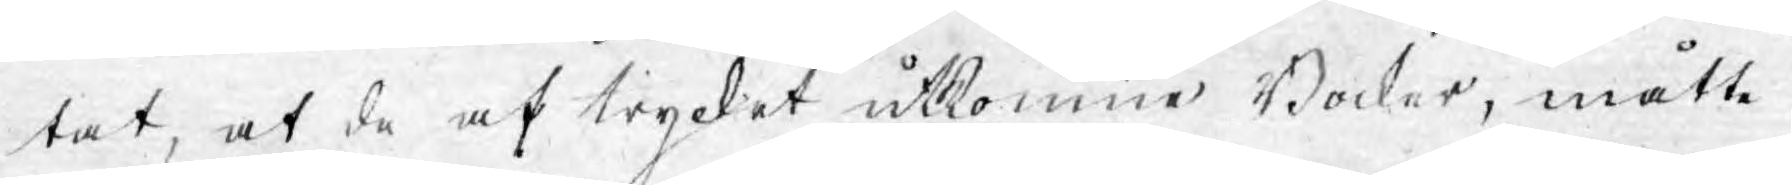tat, at de af trycket utkomne Böcker, måtte
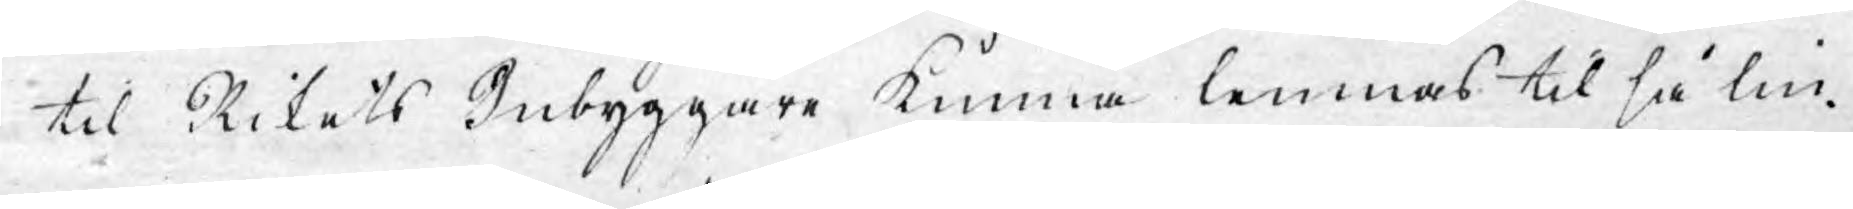til Rikets Inbyggare kunna lemnas til så lin¬
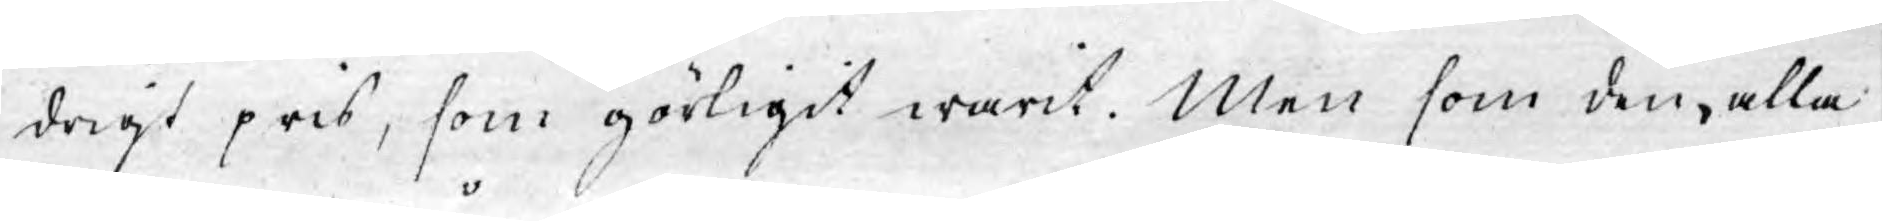drigt pris, som görligast warit. Men som den, alla
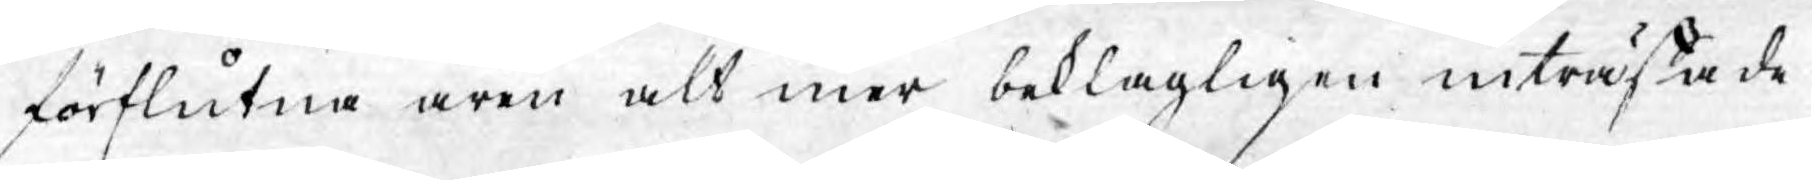förflutna åren alt mer beklagligen inträffade
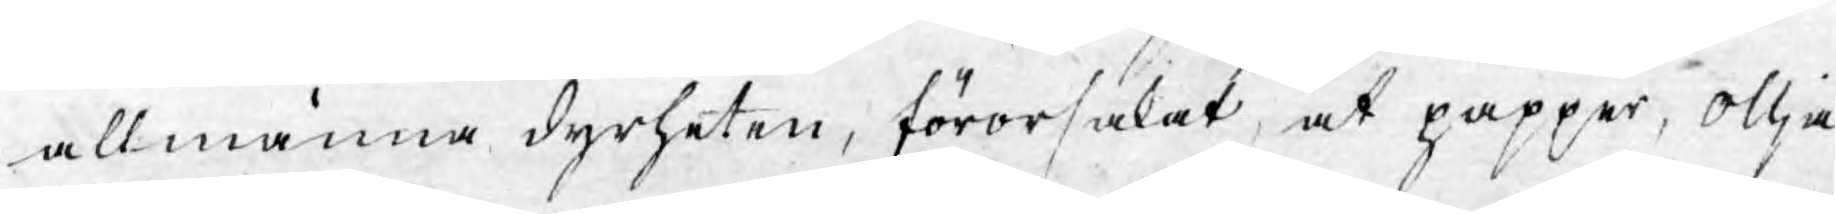allmänna dyrheten, förorsakat, at papper, ollja,
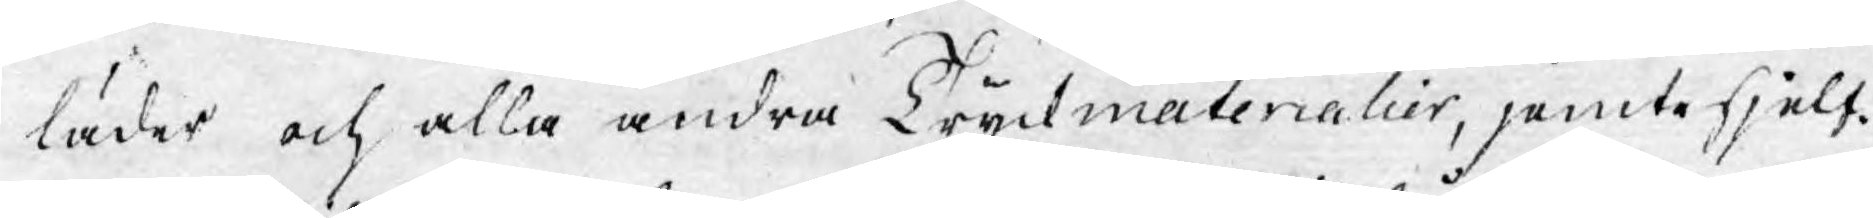läder och alla andra Tryckmaterialier, jämte sjelf¬
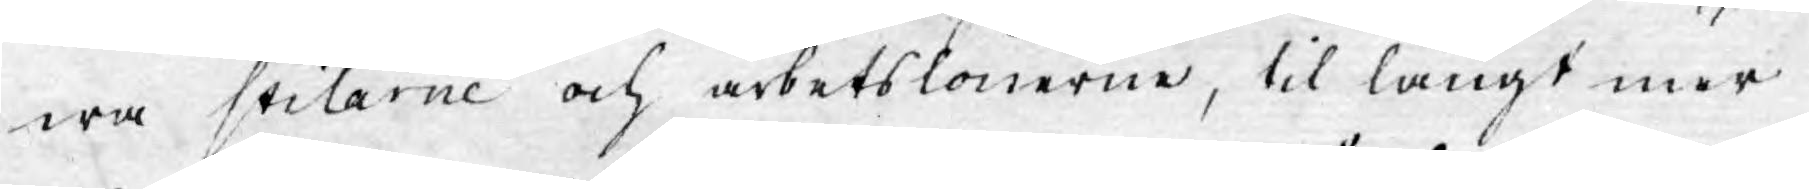wa stilarne och arbetslönerne, til långt mer
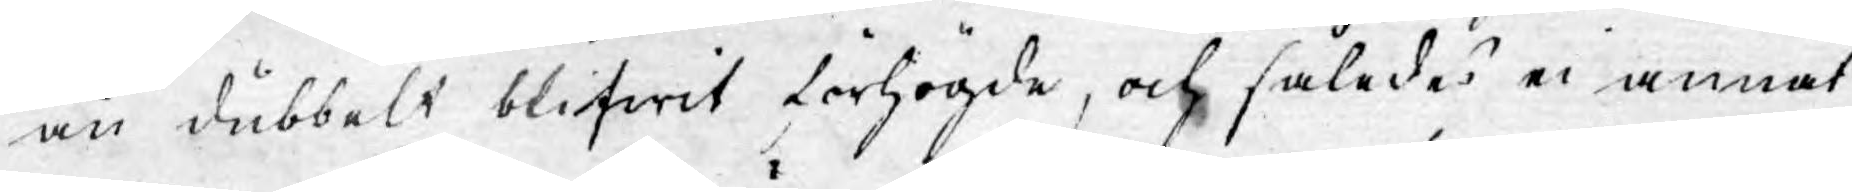än dubbelt blifwit förhögde, och således ei annat
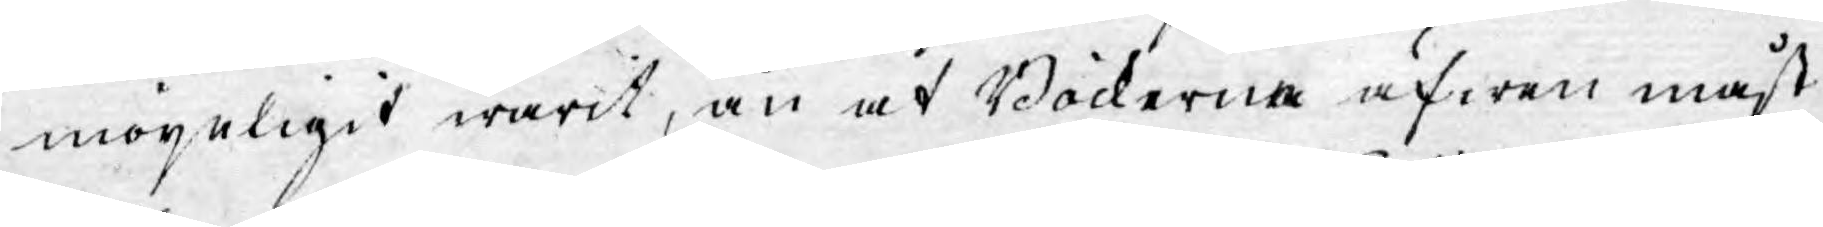möjeligit warit, än at Böckerna äfwen måst 
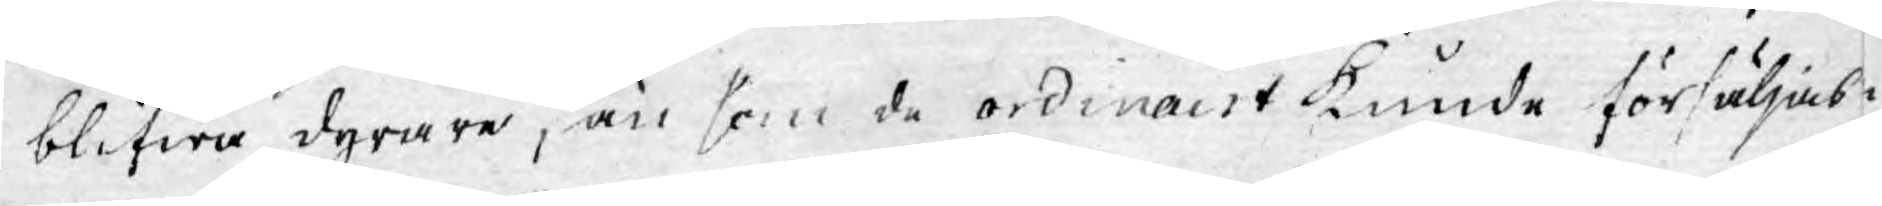blifwa dyrare, än som de ordinairt kunde försäljas
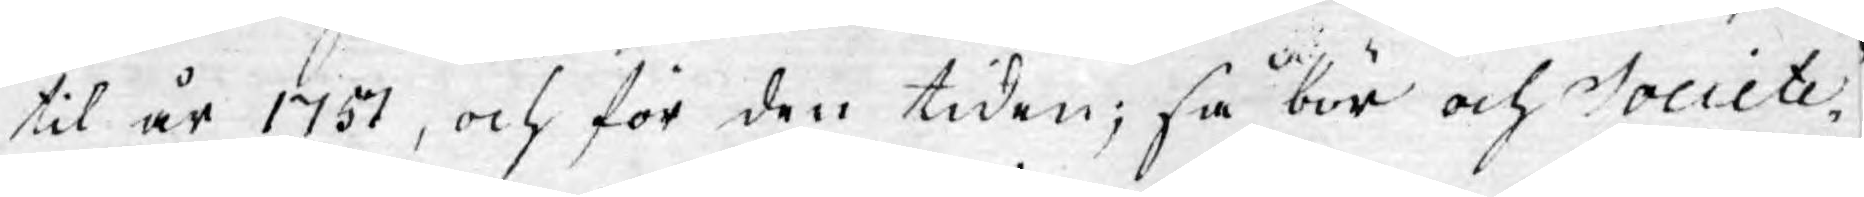til år 1751, och för den tiden; så bör och Societe¬
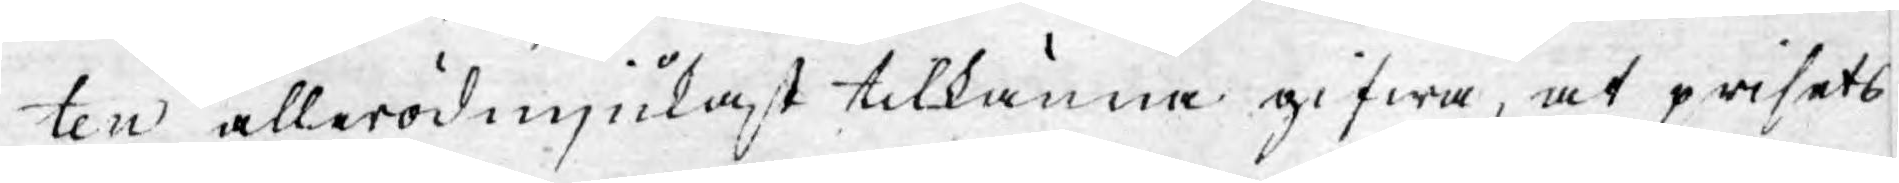ten allerödmjukast tilkänna gifwa, at prisets
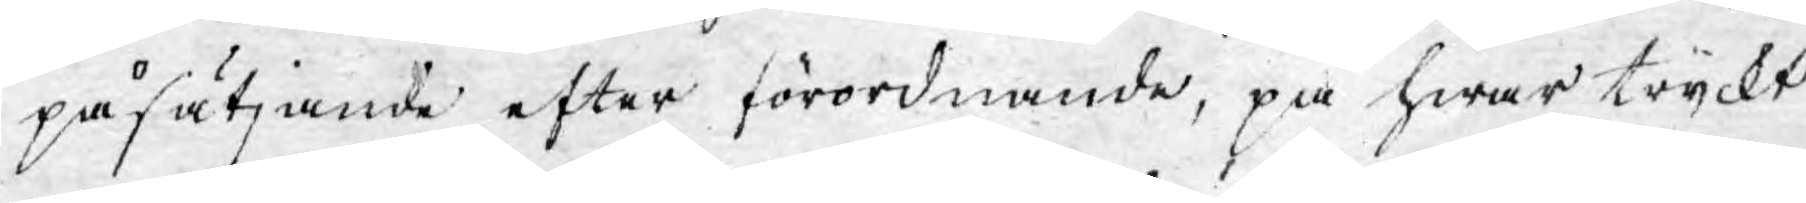påsätjande efter förordnande, på hwar tryckt
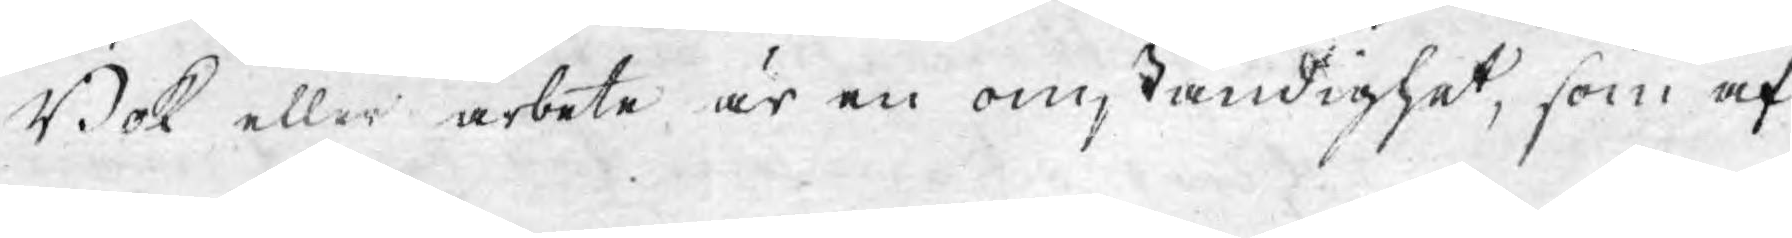Bok eller arbete är en omständighet, som af
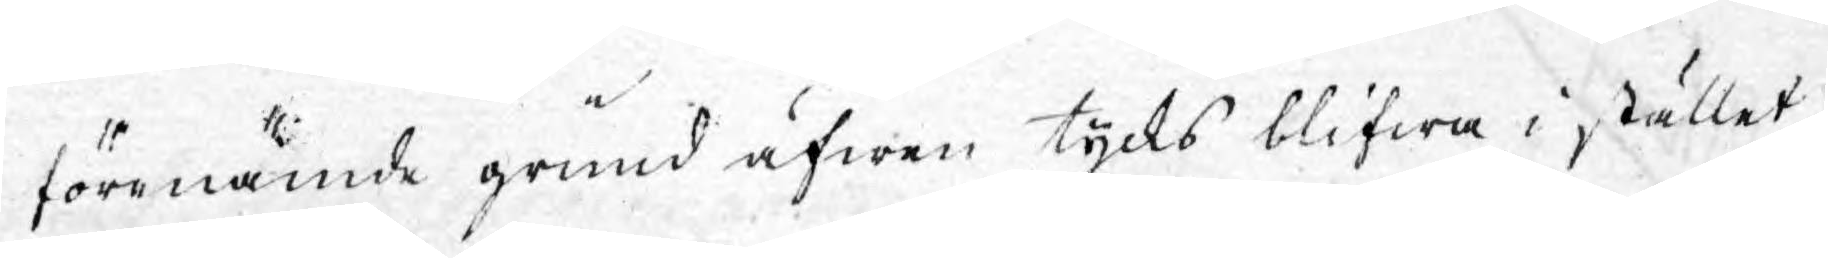förenämde grund äfwen tycks blifwa i stället
